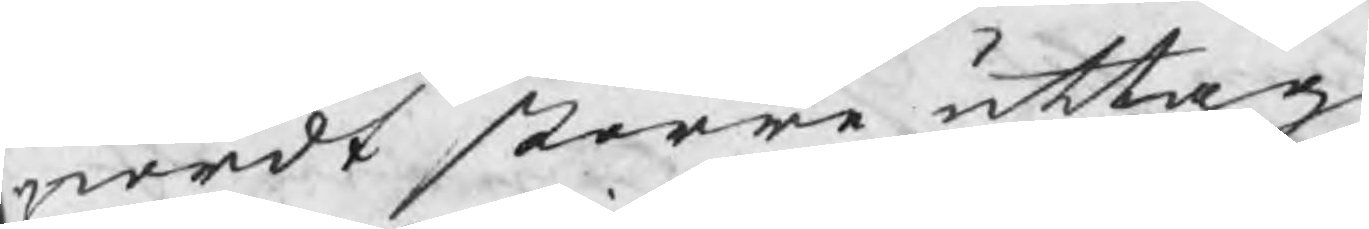giordt större uttag,
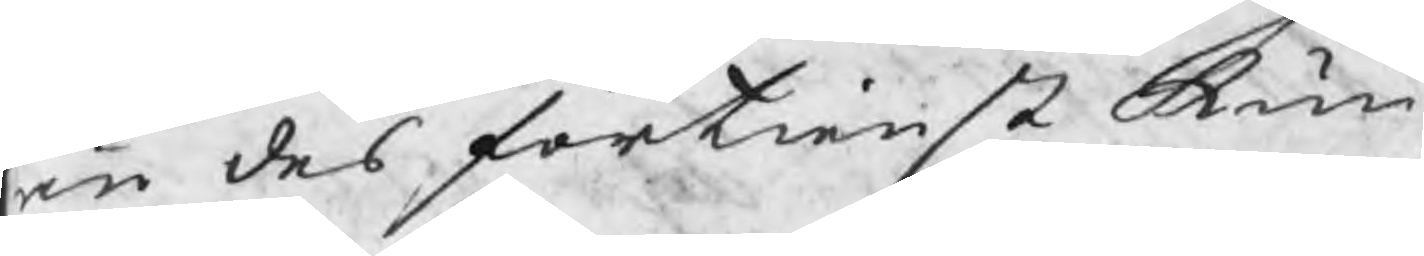än des förtienst kun¬
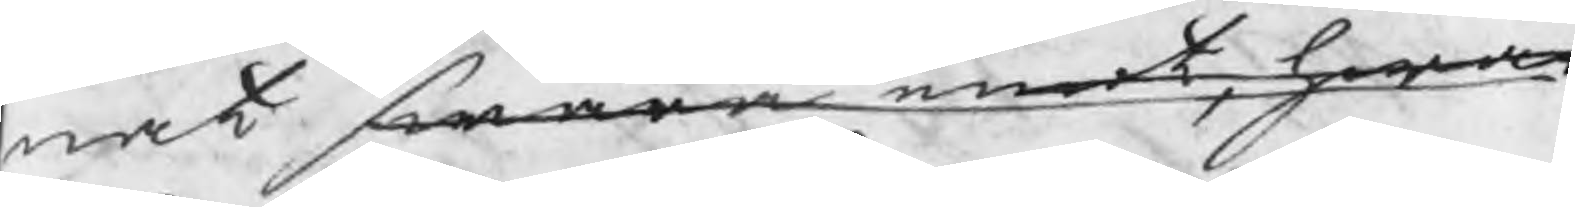nat swara emot, hwar
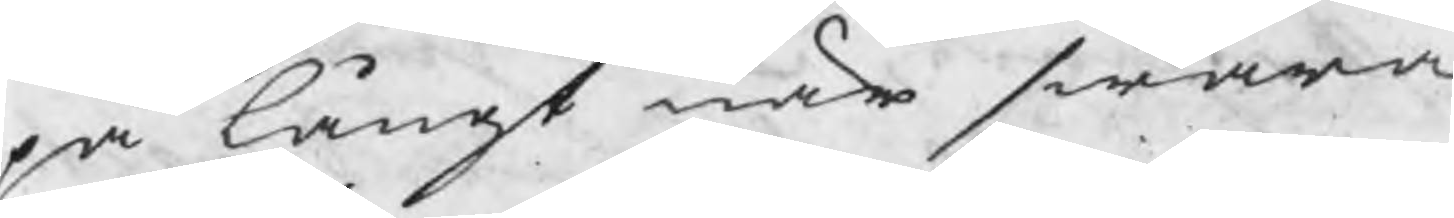på långt när swara
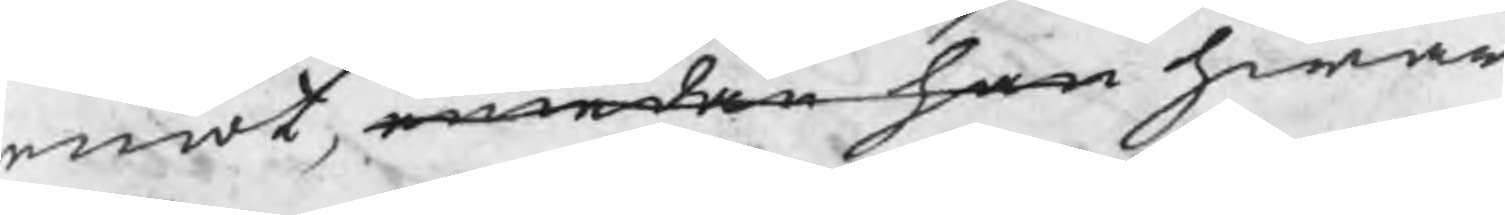emot, emedan han hwar
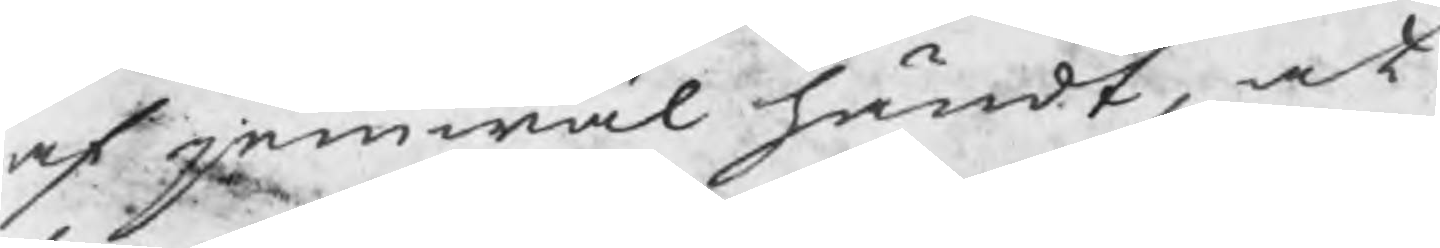af jemwäl händt, at
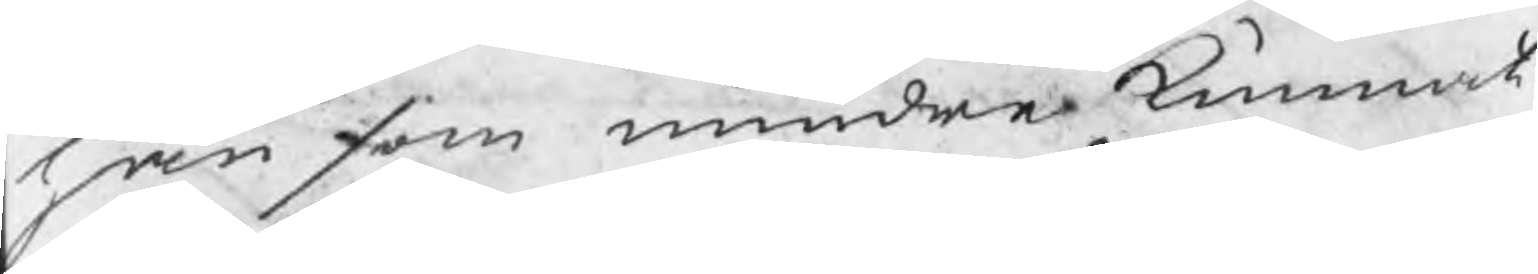han som mindre kunnat
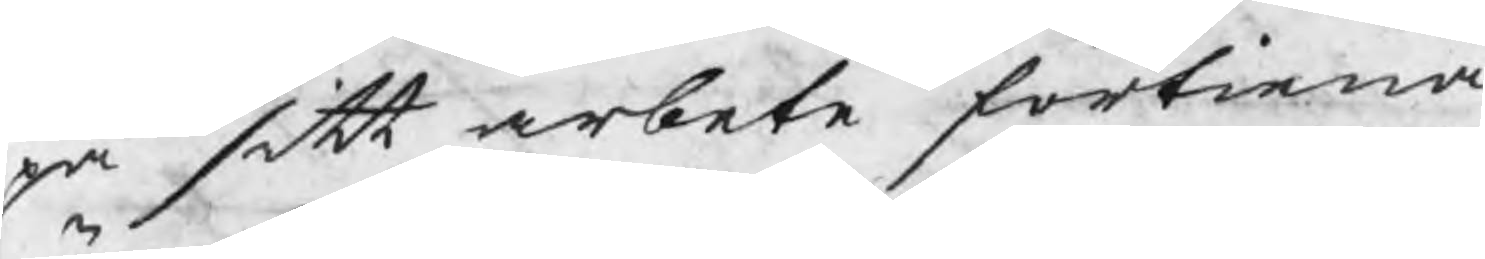på sitt arbete förtiena
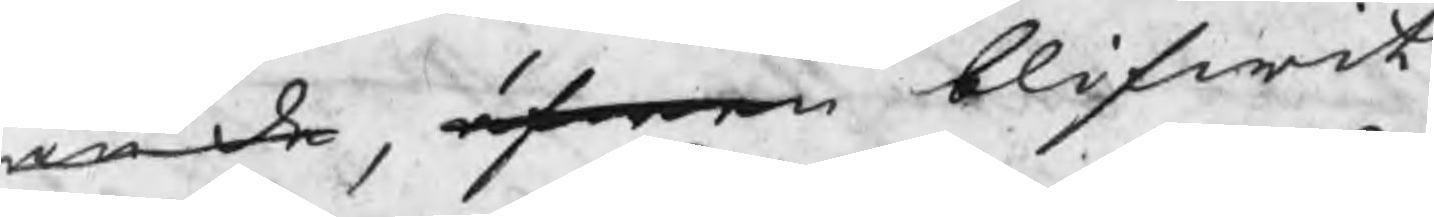än de, äfwen blifwit
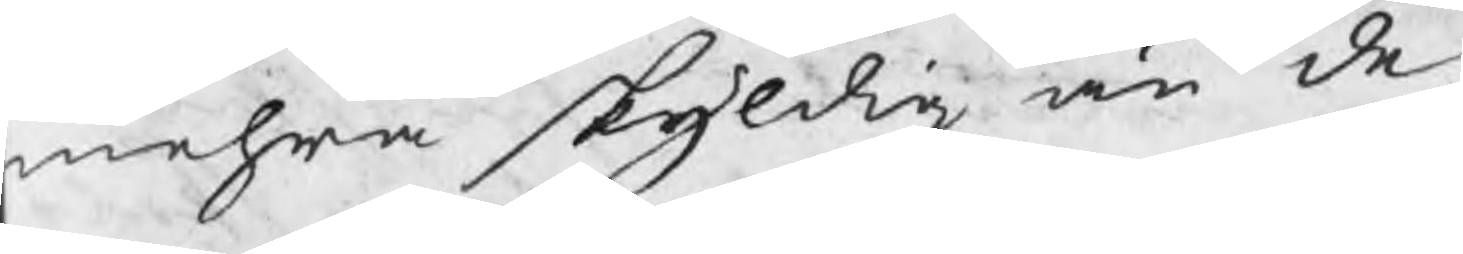mehra skyldig än de,
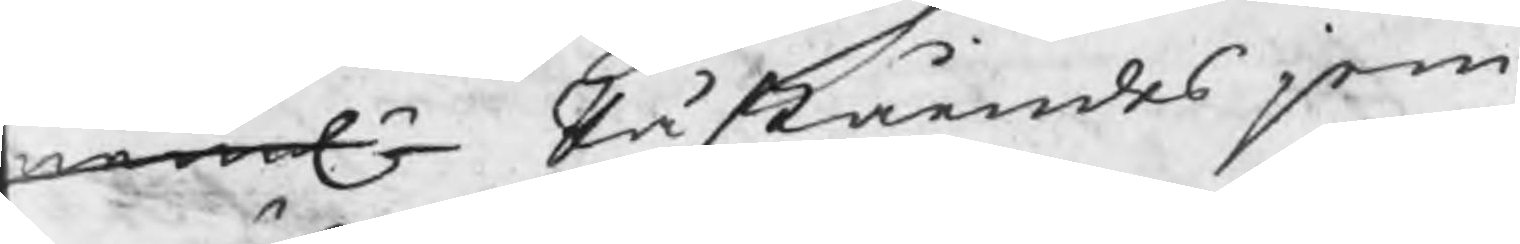nemln Påståendes jem¬
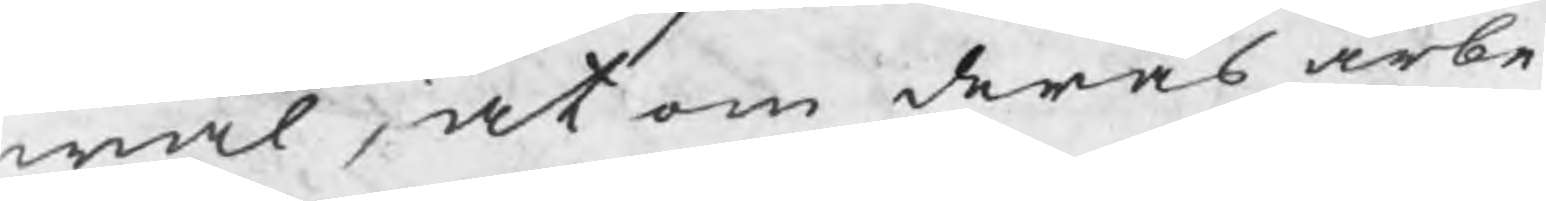wäl, at om deras arbe¬
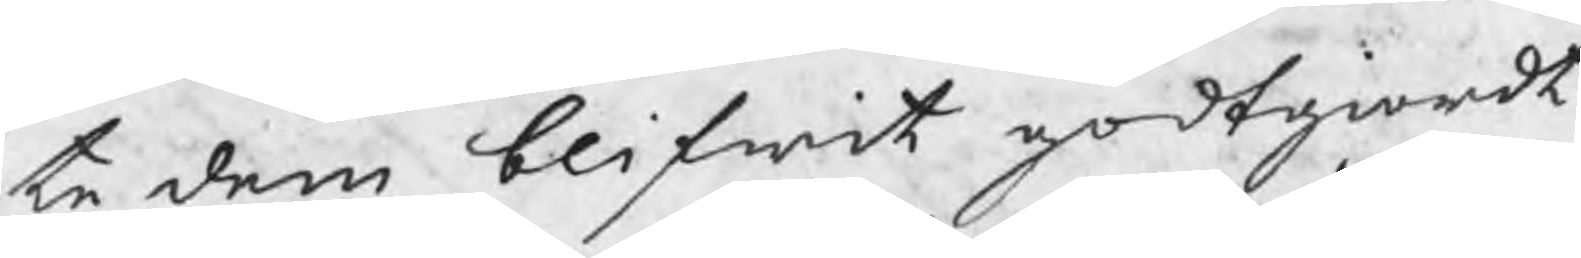te dem blifwit godtgiordt
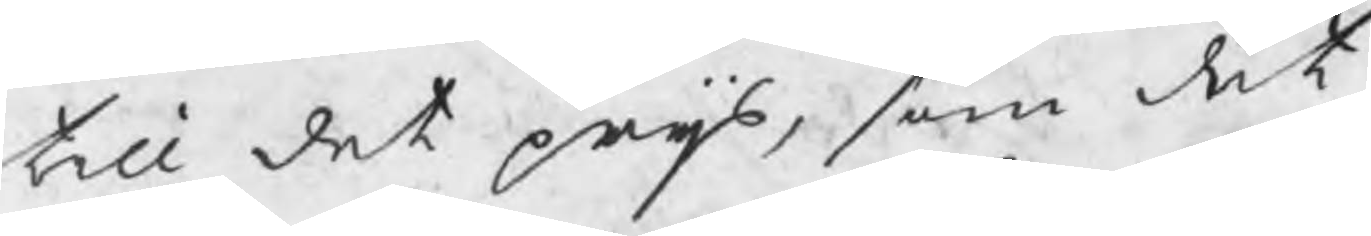till det prijs, som det
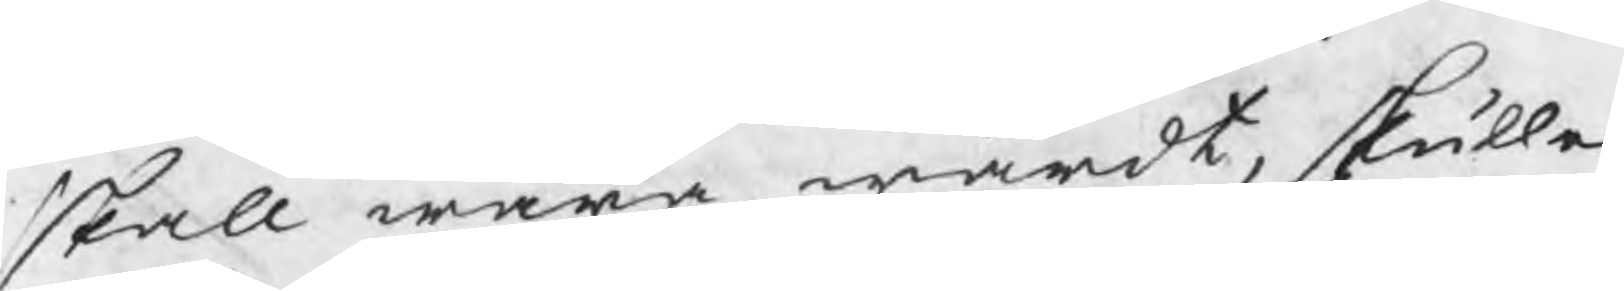skall wara wärdt, skulle
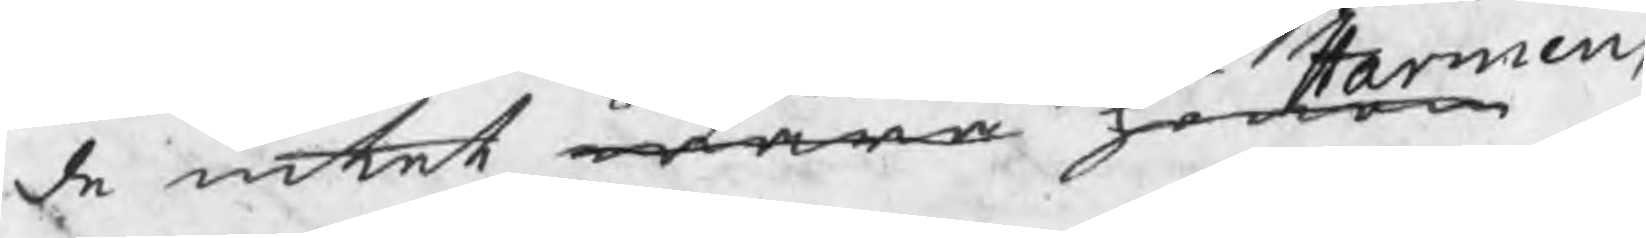de intet wara honom Harmens
